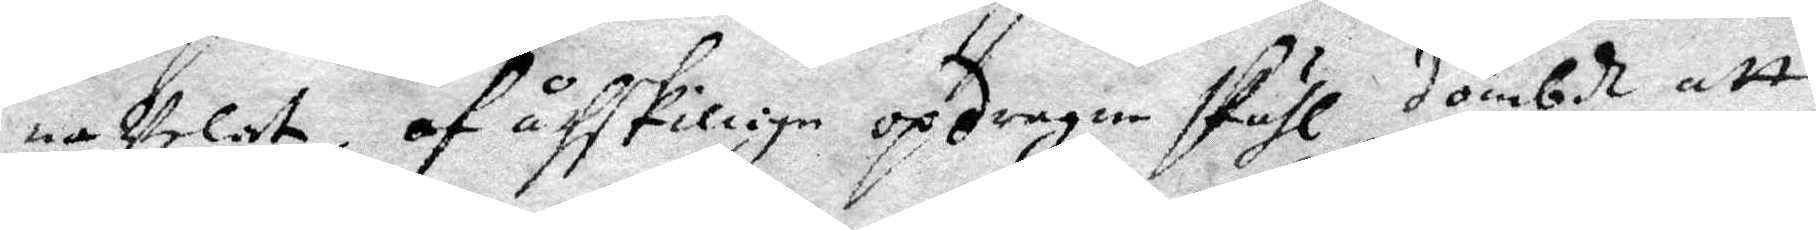na Velat, af åthskilliga opdragne skähl dömbd att
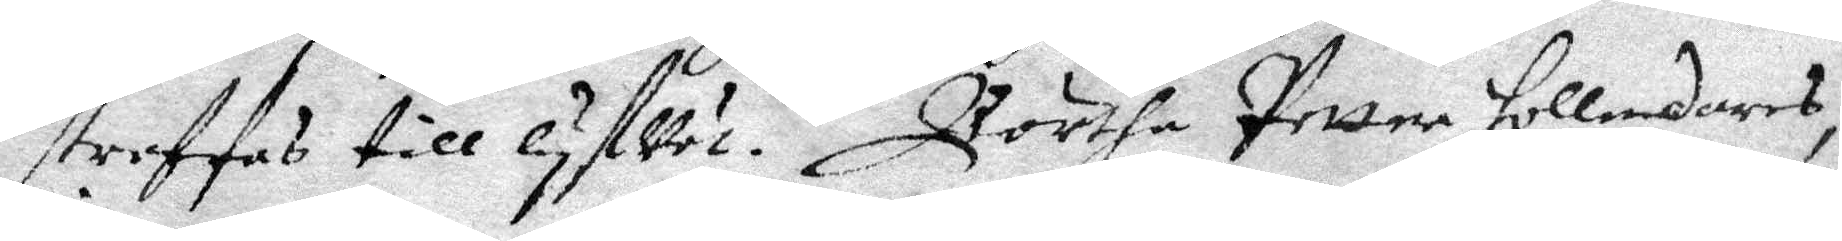straffas till lyfVett. Börtha Petter Hollendares,
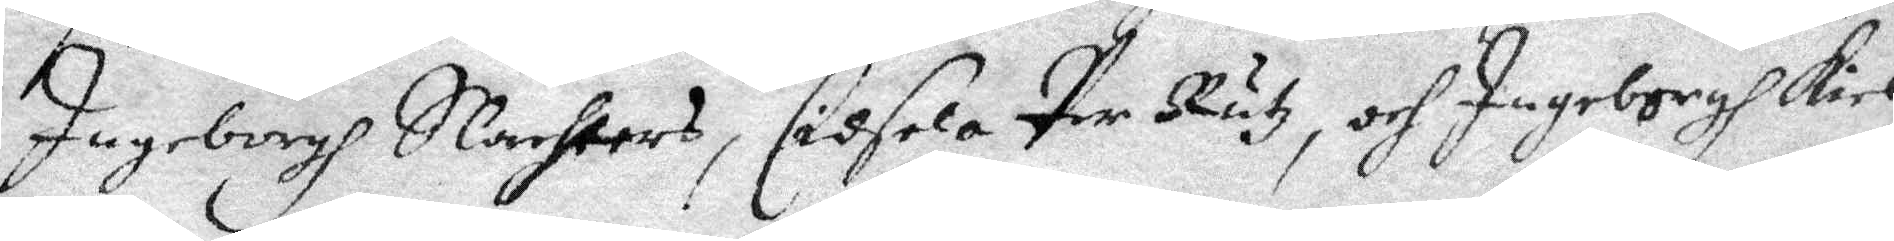Ingeborgh Slachters, Cidsela Per Rutz, och Ingeborgh Kiel
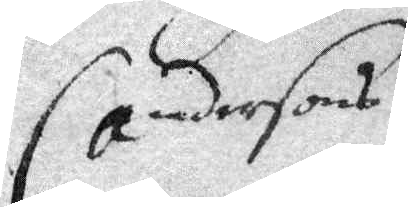Andersons
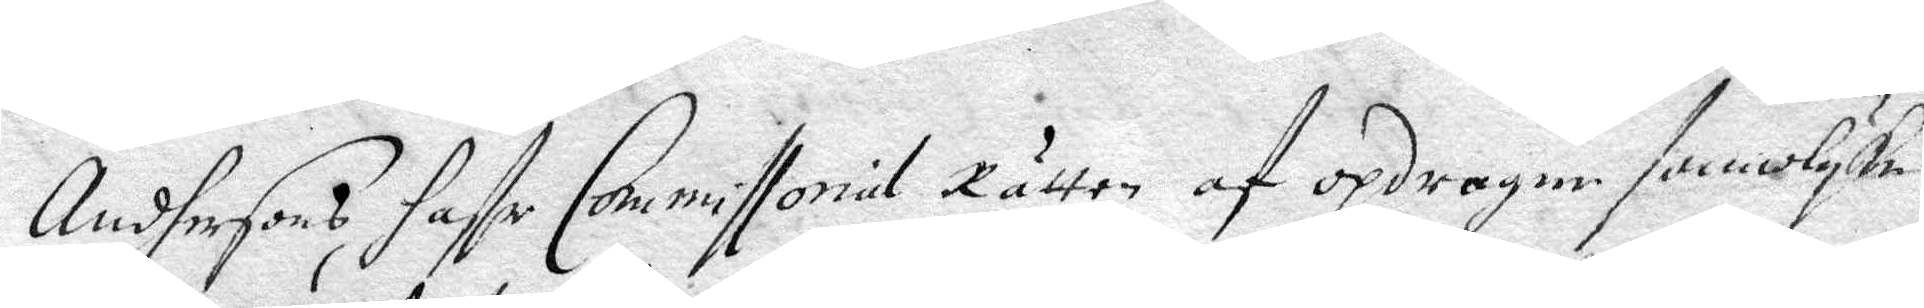Andersons, hafr Commissorial Rätten af opdragne amolyke
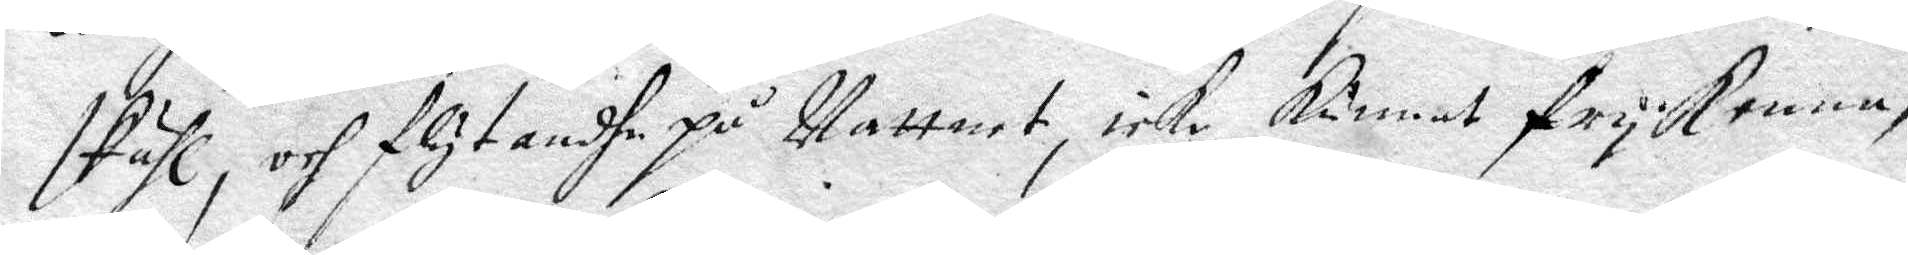skiähl, och flytandhe på Vattent, icke Kunnat frykenna,
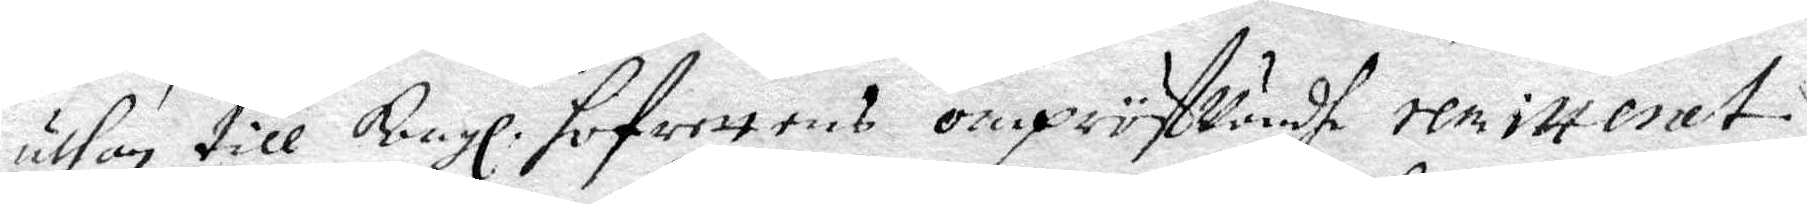uthan till Kongl. Hofrettens ompröfVandhe remitterat.
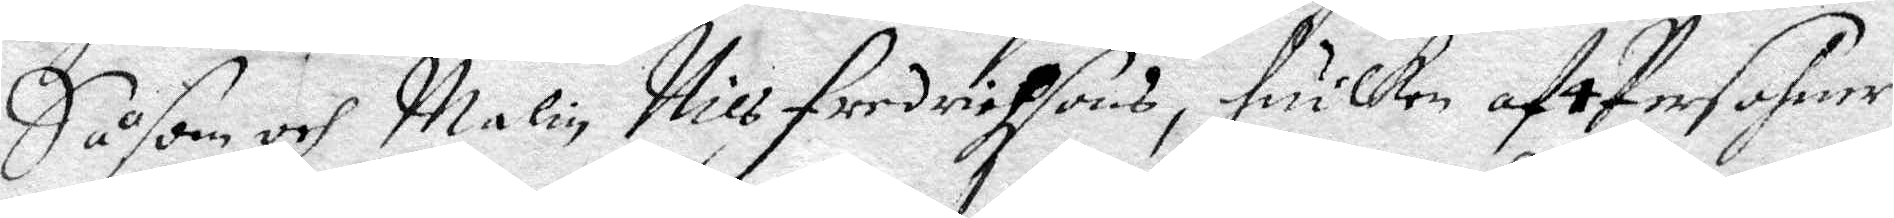Såsom och Malin Nils Fredrichsons, huilken af 4 persohner
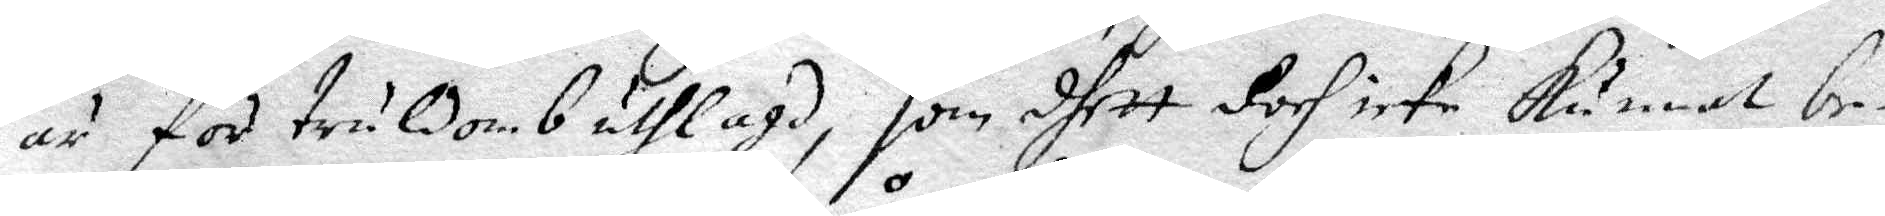är för truldomb utlagd, som dhett doch icke kunnat be¬
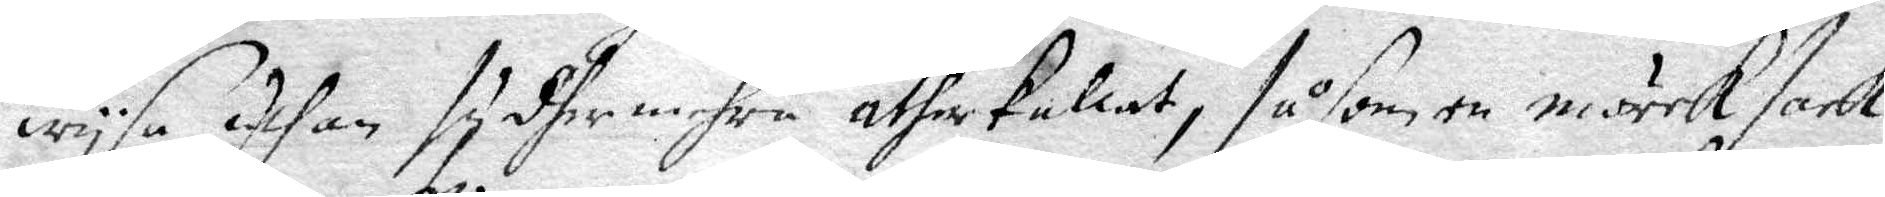wysa, Uthan sydhermehra åtherkallat, såsom en mörrk sask
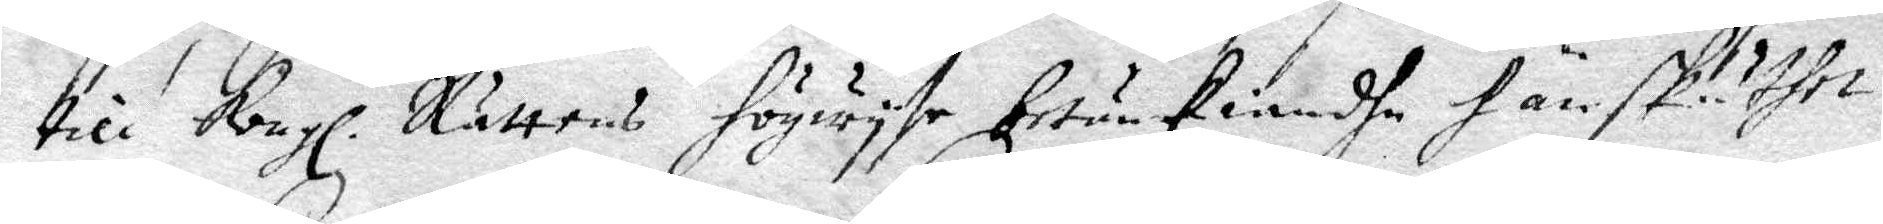till Kongl. Rättens Högwysa betänkiandhe hänskuther.
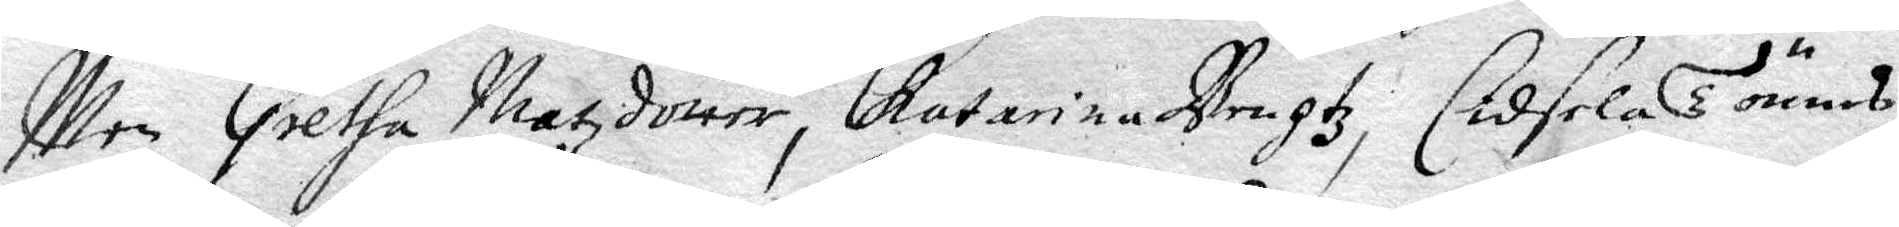Men Gretha Matzdotter, Catarina Bengtz, Cidsela Tounes,
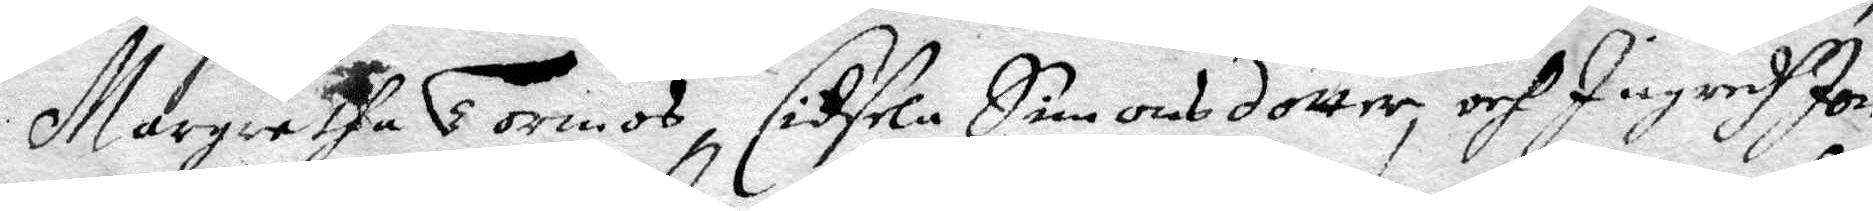Margaretha Tormos, Cidsela Simonsdotter, och Ingredh jon
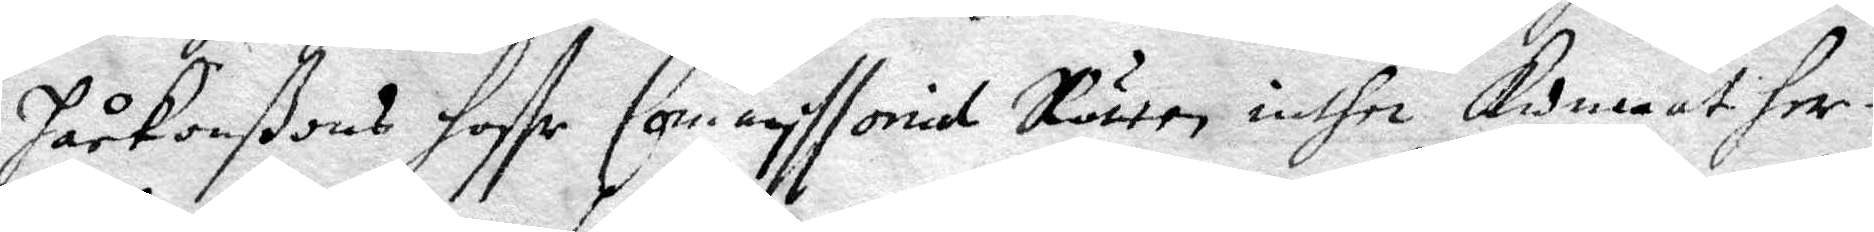Håkanßons haffe Commissorial Rätten inthe kunnat Her¬
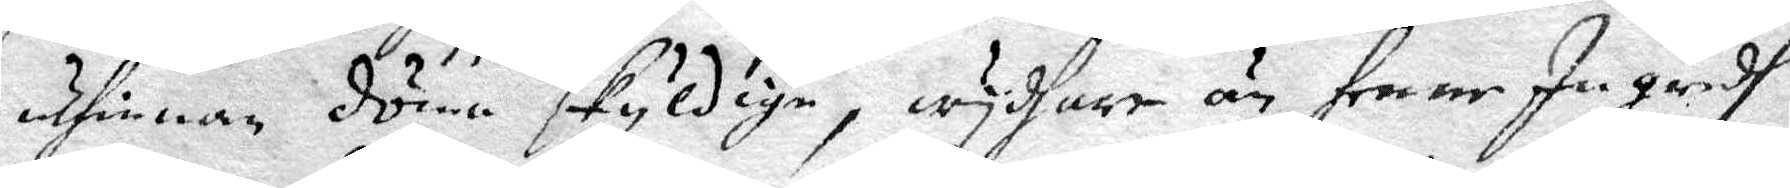uthinnan döma skyldige, wydhare än henne Ingridh
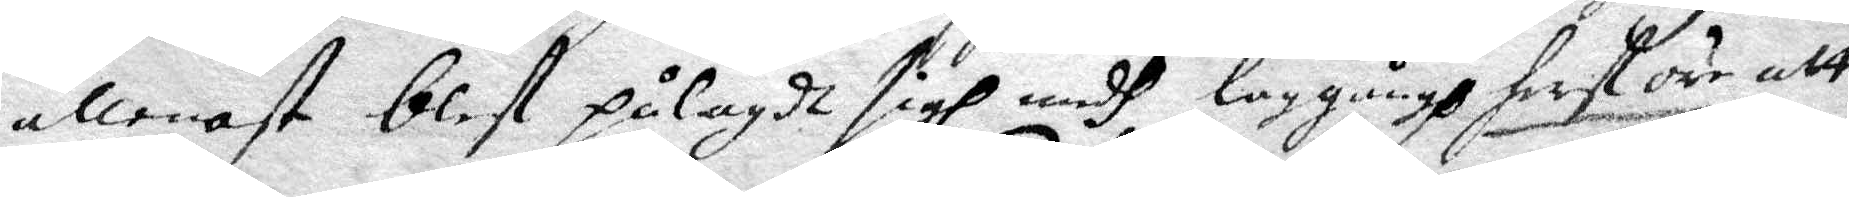allenast blef pålagdt sigh medh laggångh fast äre att
